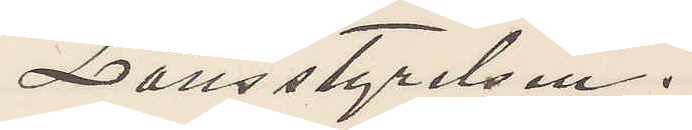Länsstyrelsen.
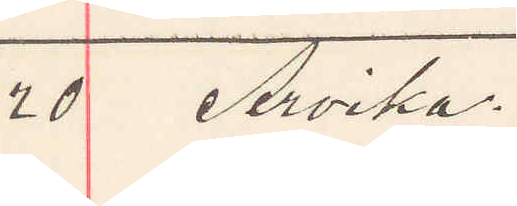20 Arvika.
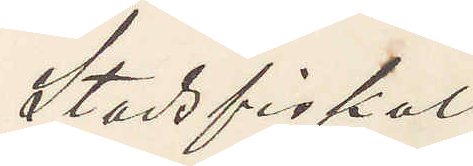Stadsfiskal
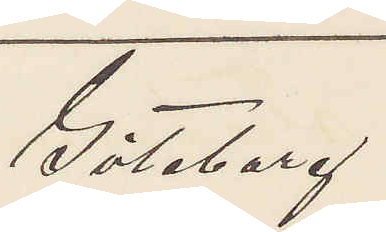Göteborg
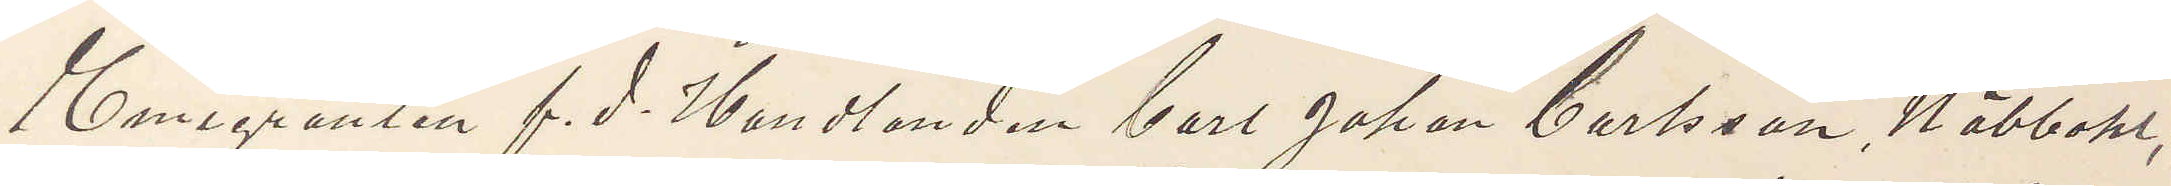Emigranten f. d. Handlanden Carl Johan Carlsson, Näbbohl,
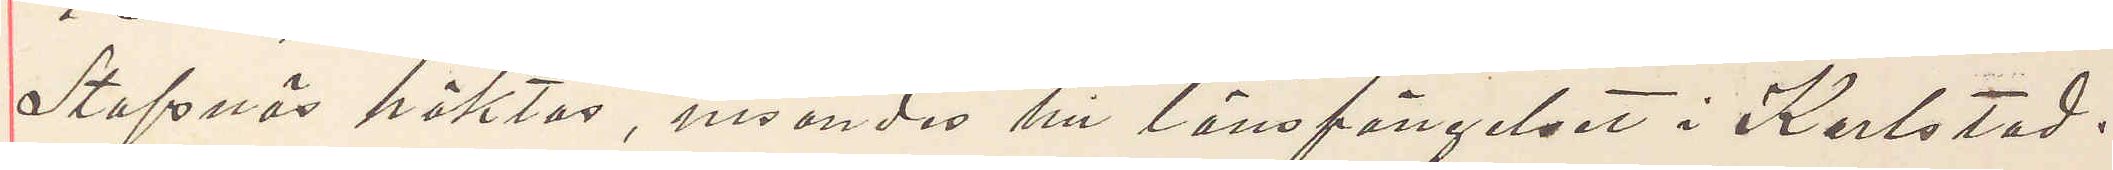Stafnäs häktas, insandes till länsfängelset i Karlstad.
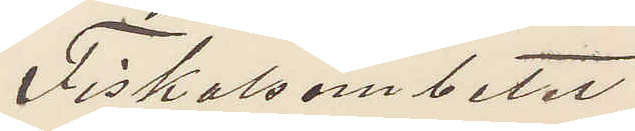Fiskalsämbetet
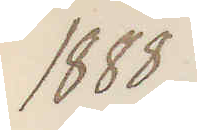1888
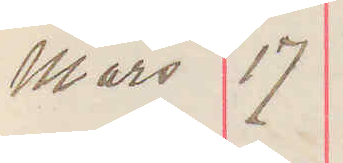Mars 17
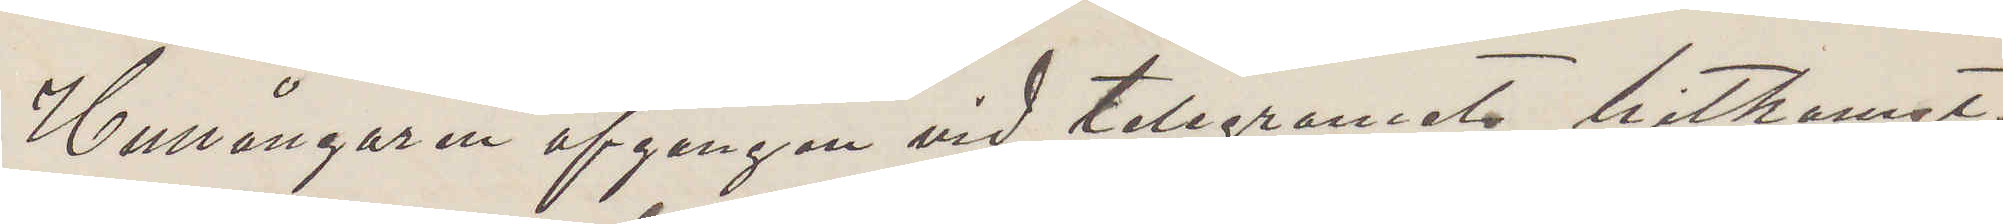Hullångaren afgången vid telegramets hitkomst
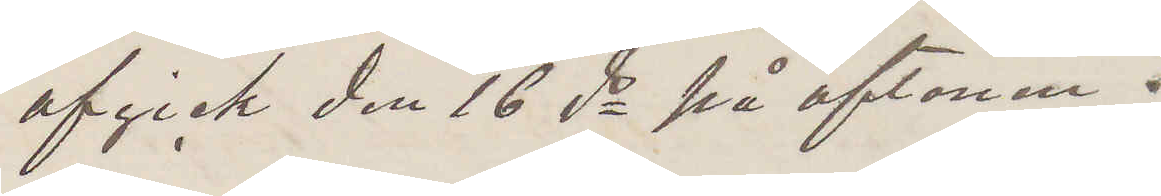afgick den 16 ds på aftonen.
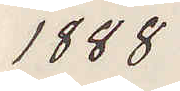1888
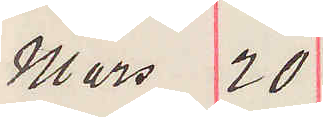Mars 20
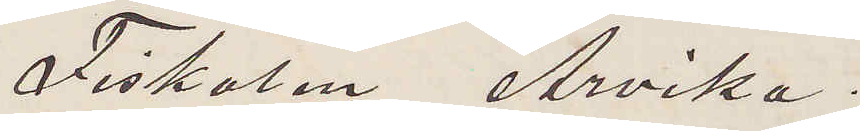Fiskalen Arvika.
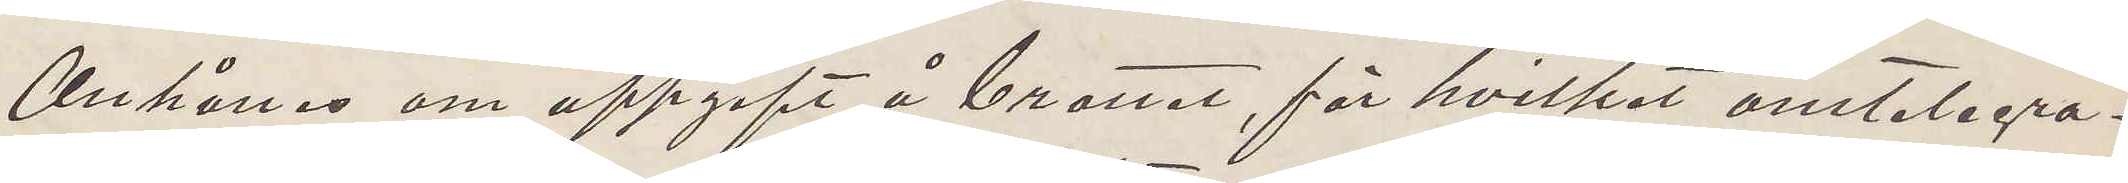Anhålles om uppgift å brottet, för hvilket omtelegra¬
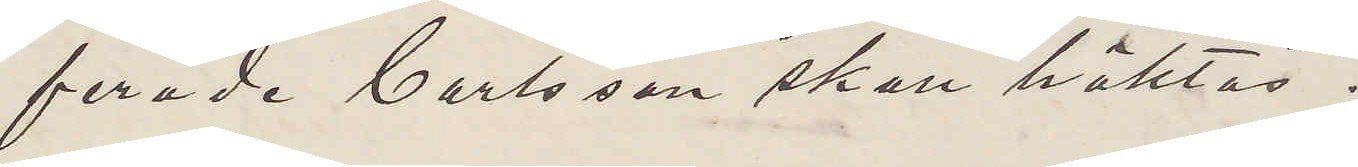ferade Carlsson skall häktas.
